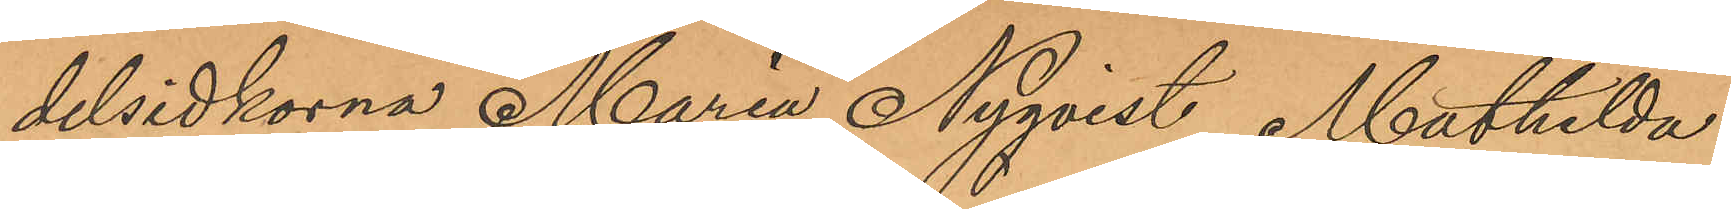delsidkorna Maria Nyqvist , Mathilda
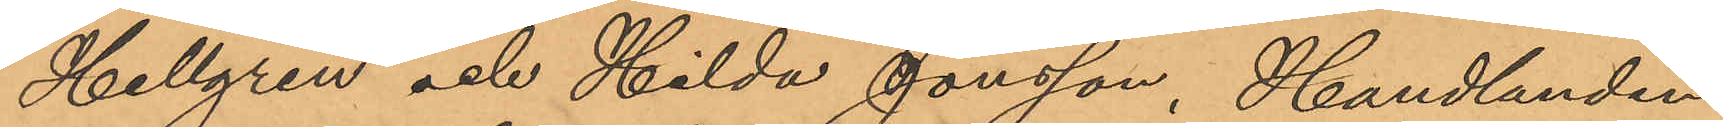Hellgren och Hilda Jonsson, Handlanden
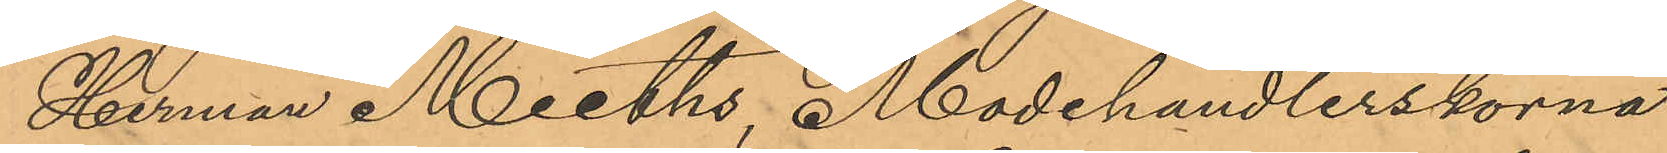Herman Meeths, Modehandlerskorna
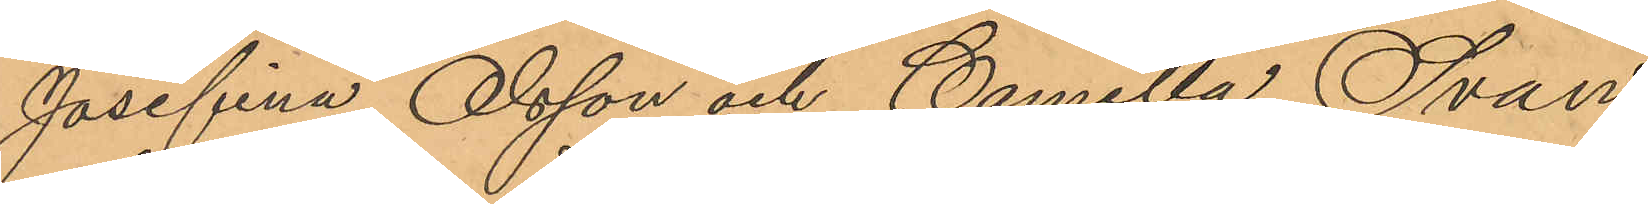Josefina Olsson och Camilla Svan,
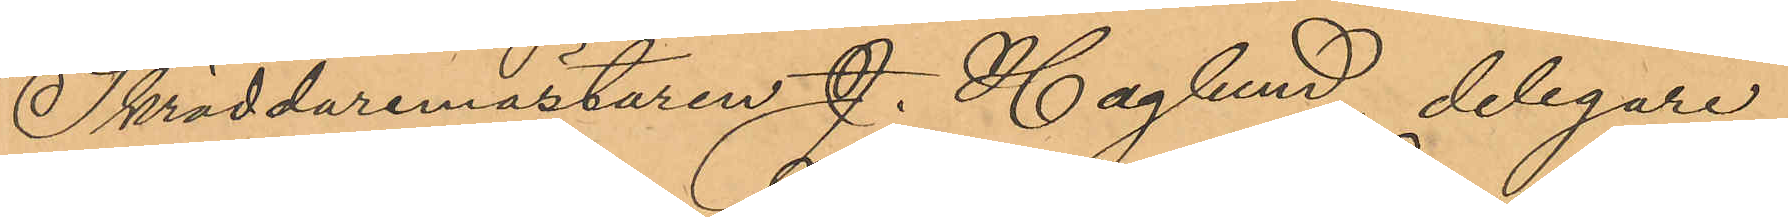Skräddaremästaren J. Haglund, delegare
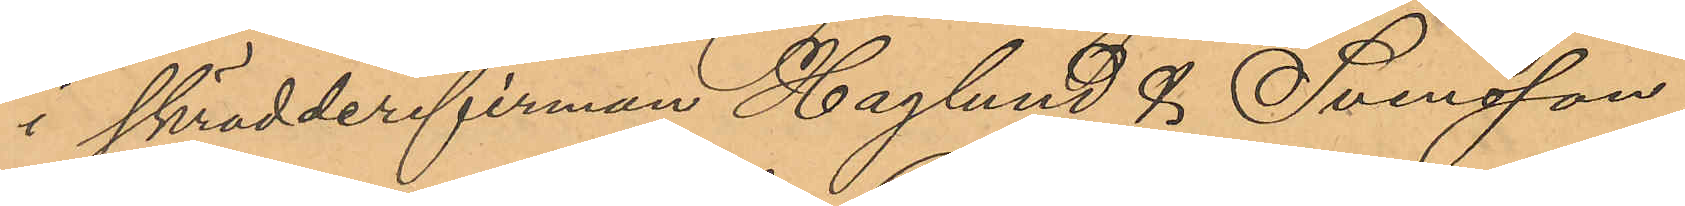i skrädderifirman Haglund & Svensson,
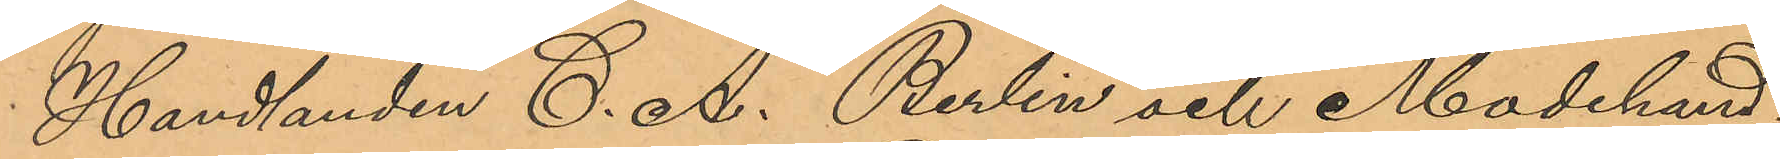Handlanden C. A. Berlin och Modehand¬
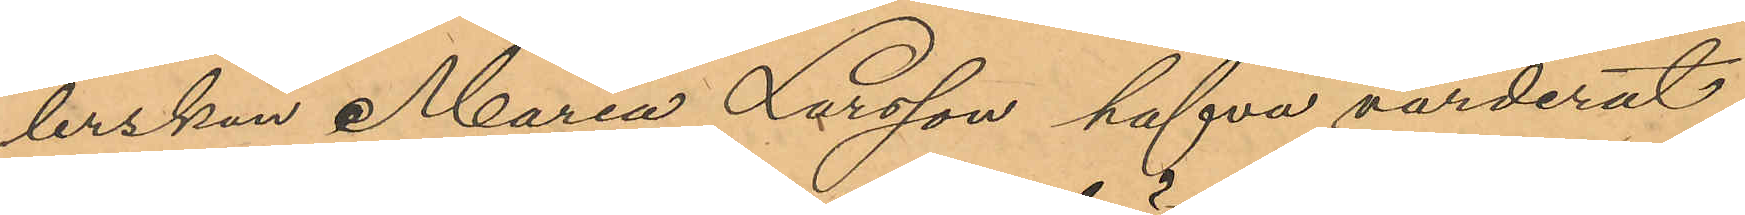lerskan Maria Larsson hafva värderat
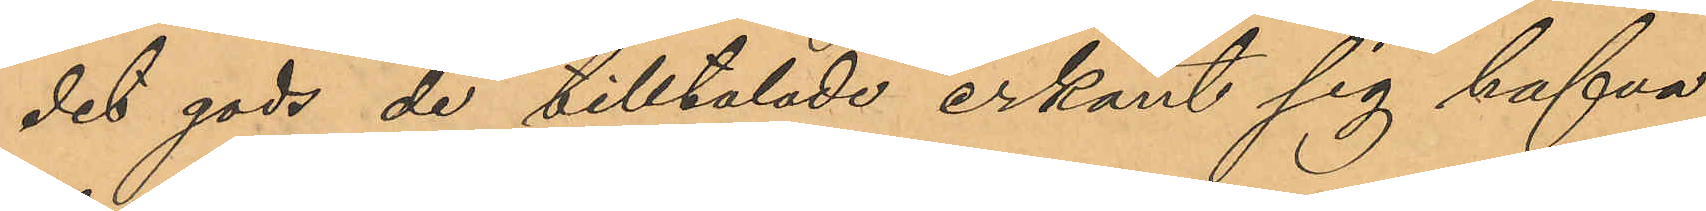det gods de tilltalade erkänt sig hafva
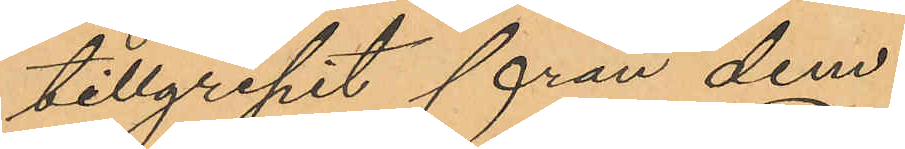tillgripit från dem.
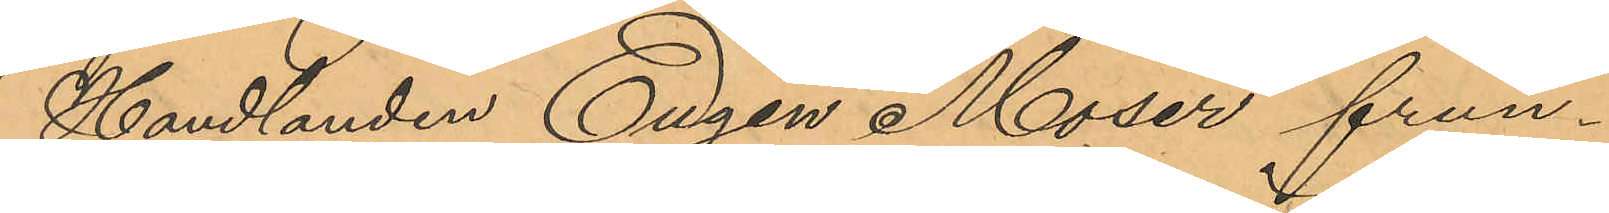Handlanden Eugen Moser frun¬
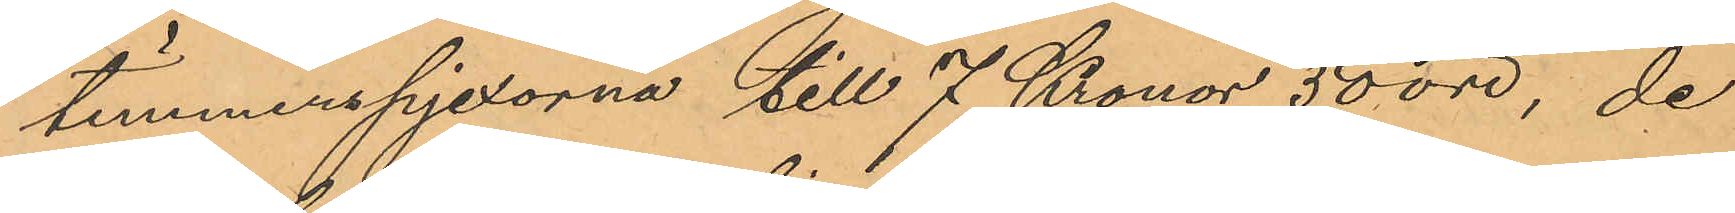timmerspjexorna till 7 Kronor 50 öre, de
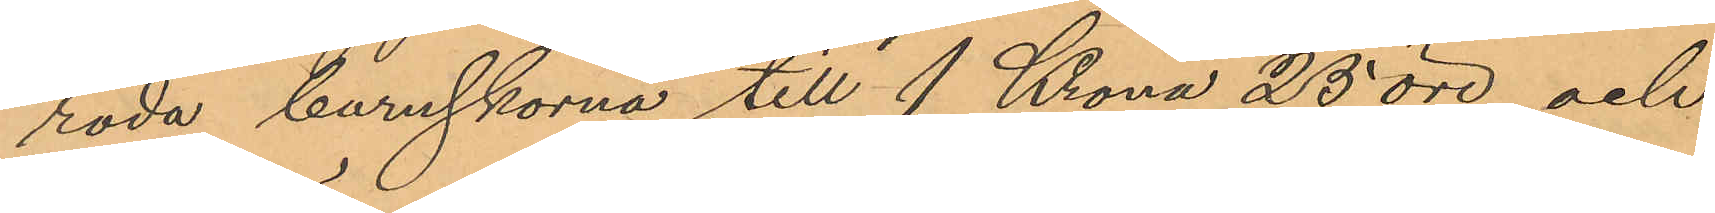röda barnskorna till 1 Krona 25 öre och
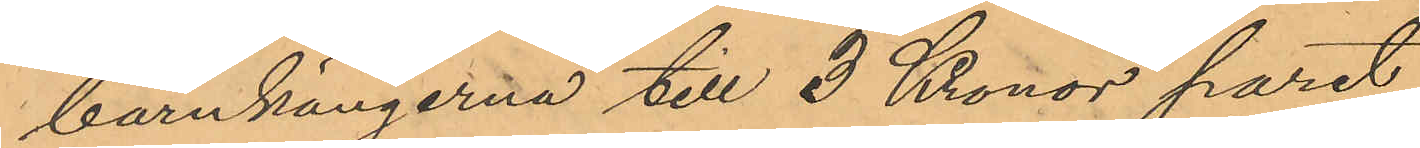barnkängerna till 3 Kronor paret,
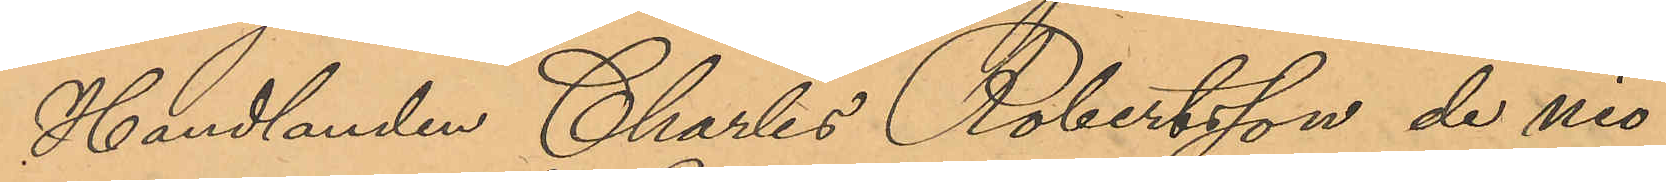Handlanden Charles Robertsson de nio
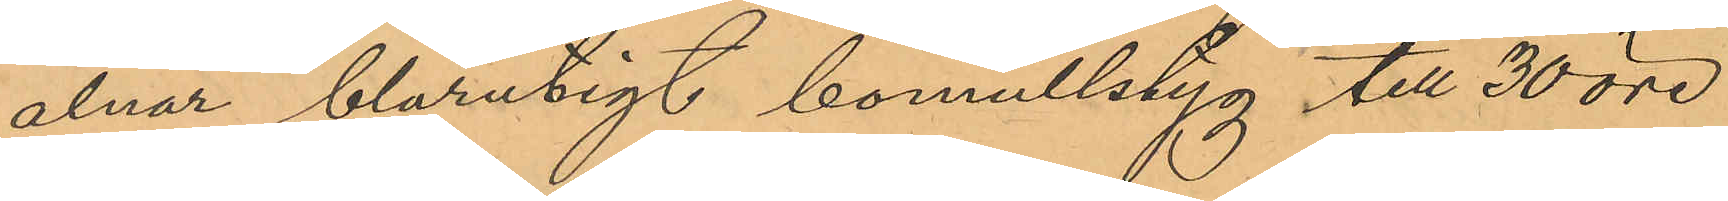alnar blårutigt bomullstyg till 30 öre
